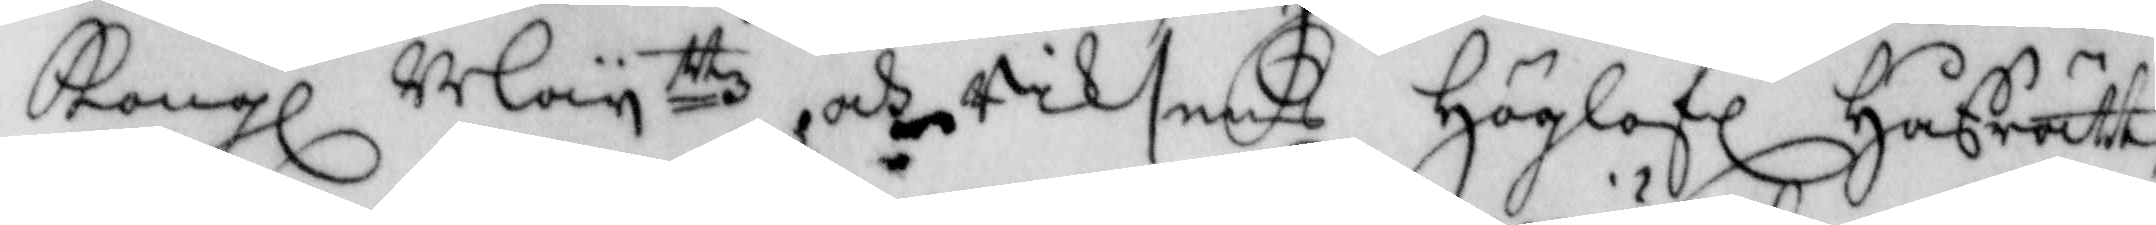Kongl Mayttz och Riksens Höglofl Håfrätt
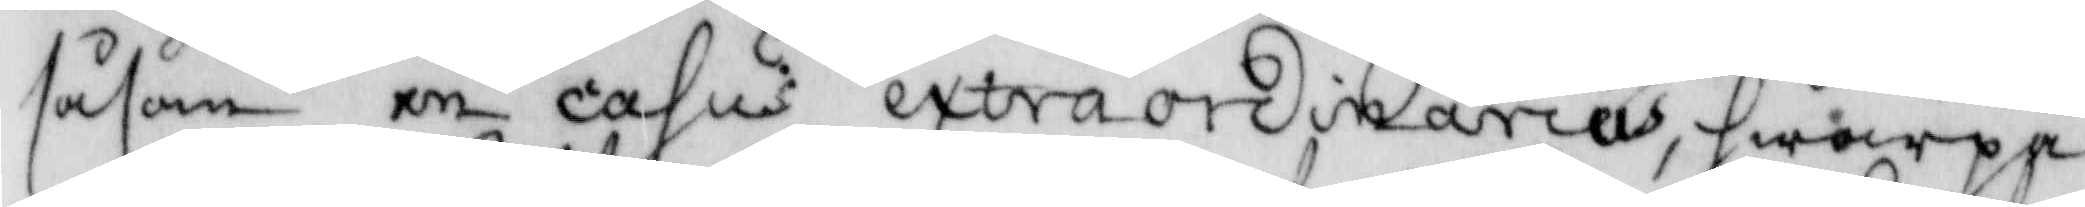såsom in casus extraordinarius, hwarpå
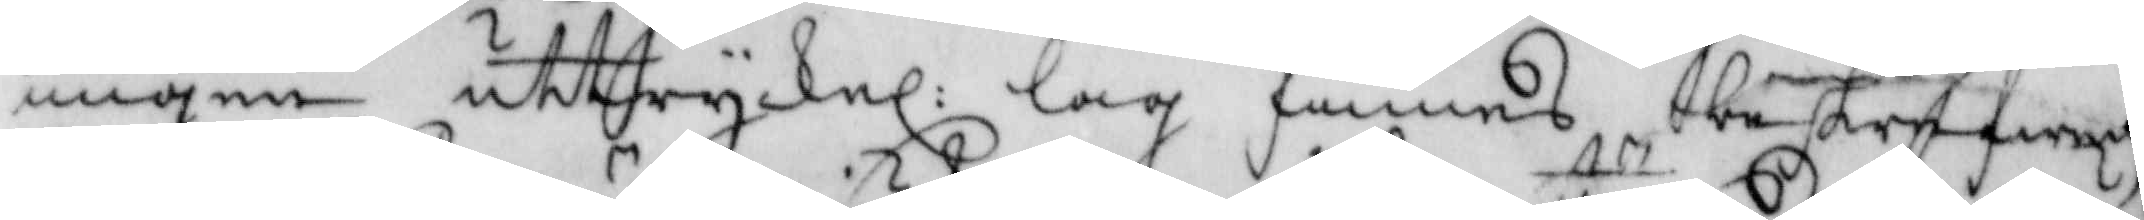ingen uttryckel: lag finnes beskrifwen
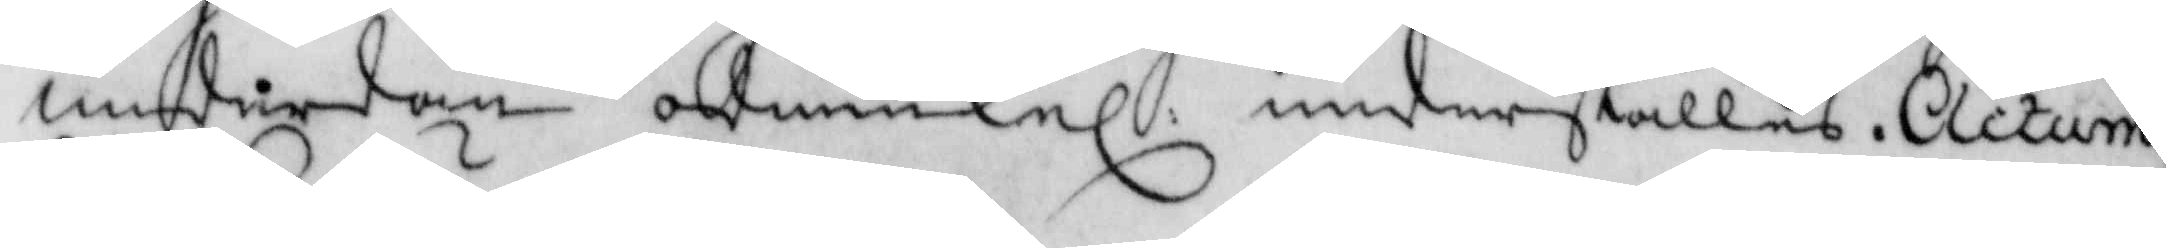underdån ödmiukel: underställes. Actum
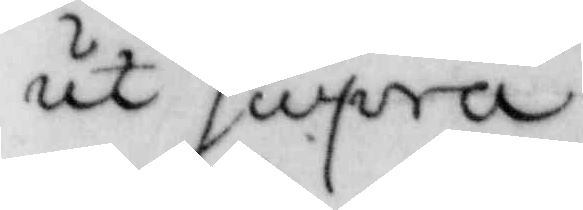ut supra.
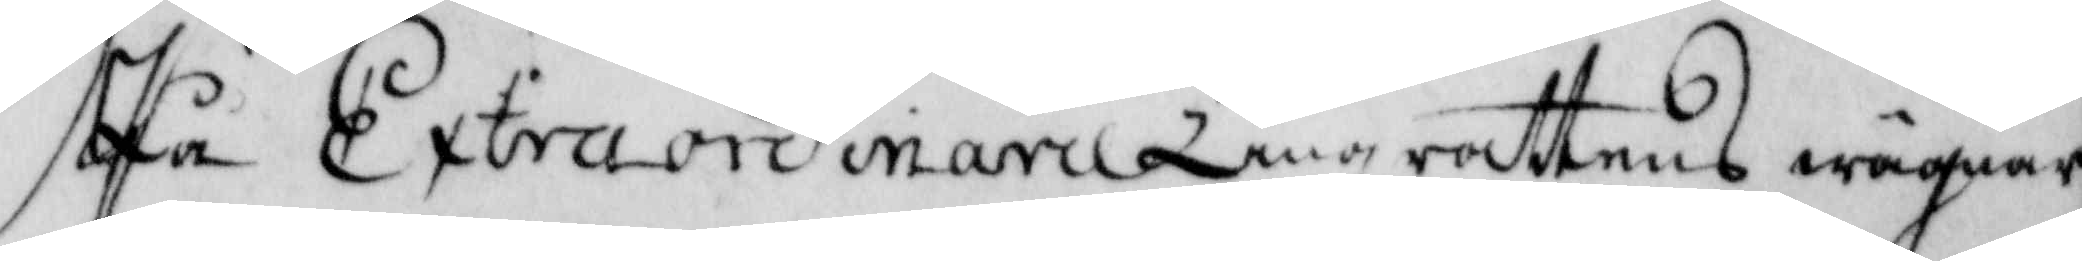På Extraordinarie Tingsrättens wägnar
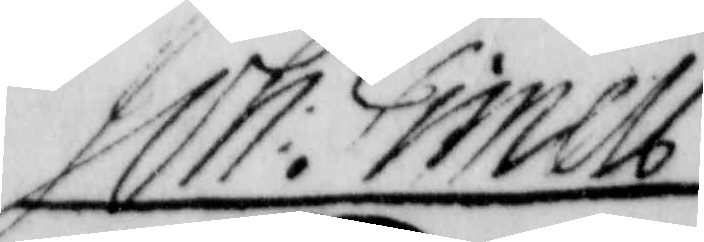Joh. Grinels
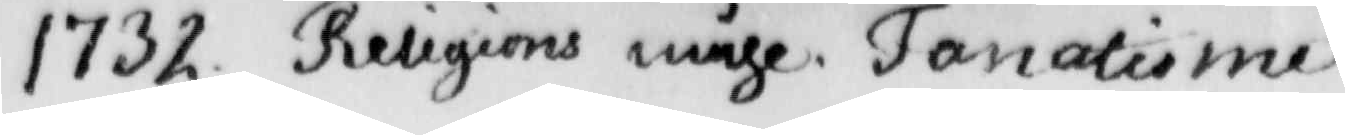1732. Religions måhl, Janatisme
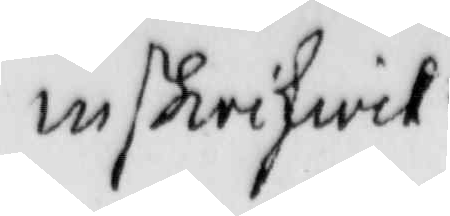inskriwit
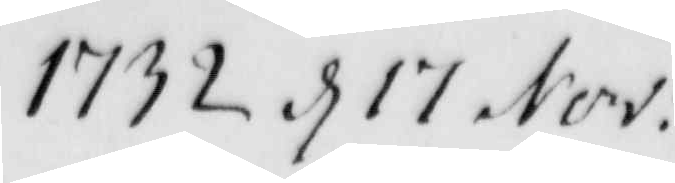1732 d 17 Nov.
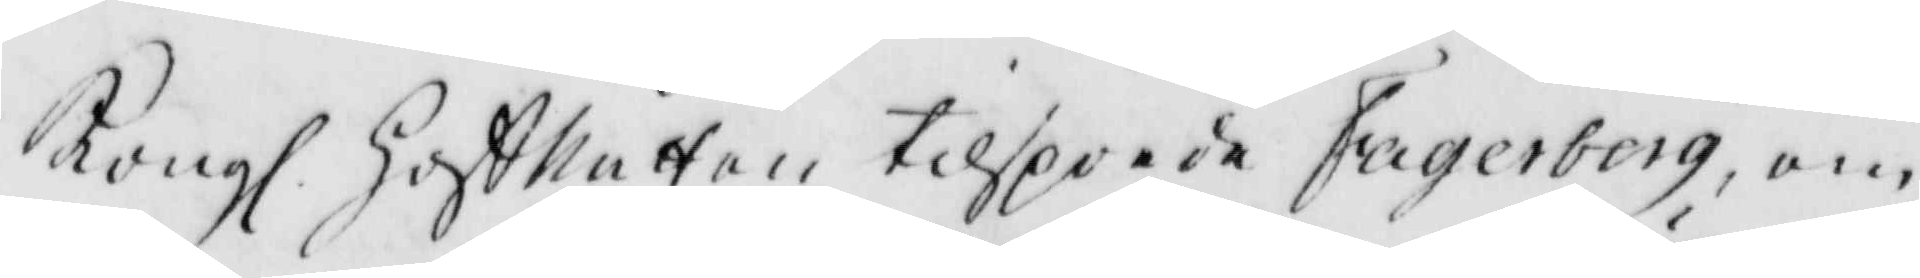Kongl. Hoffrätten tilsporde Fagerberg, om
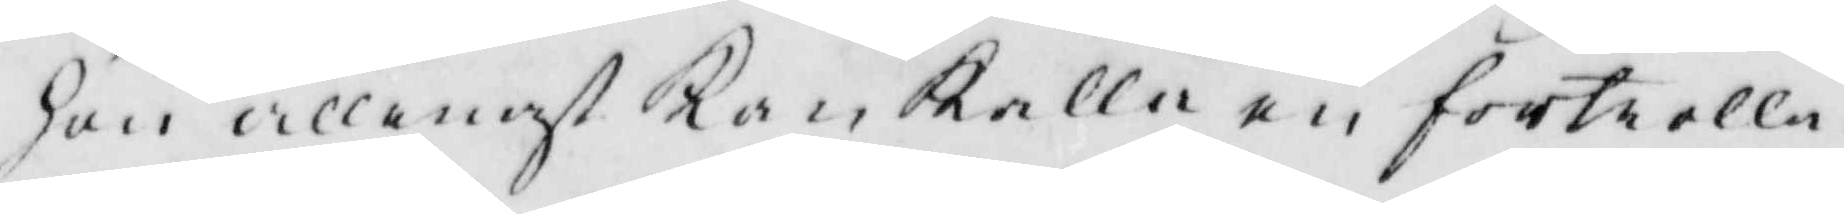hon allenast kan kalla en förtrolla¬
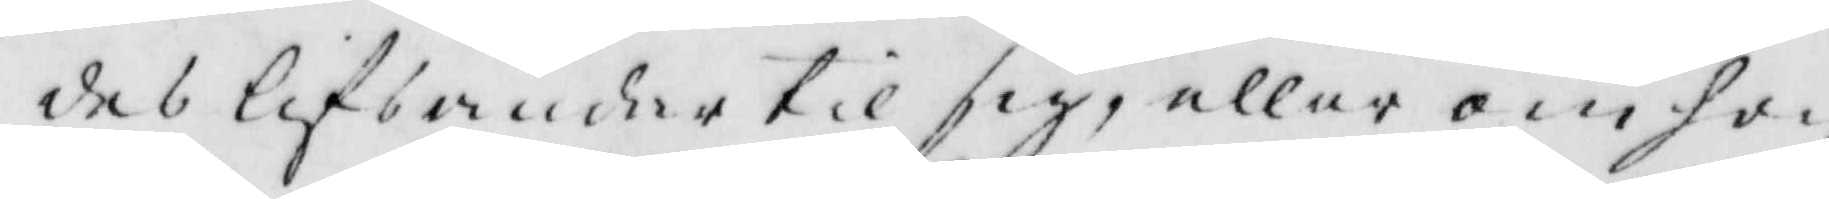des lifsander till sig, eller om hon
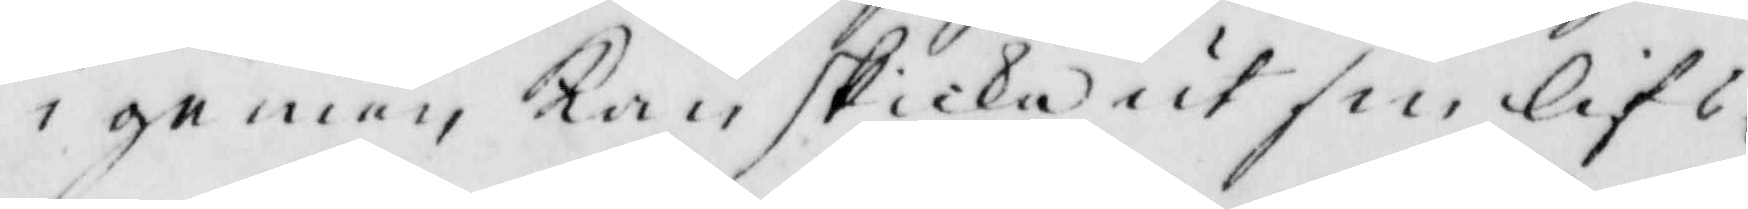i gemen kan skicka ut sin lifs¬
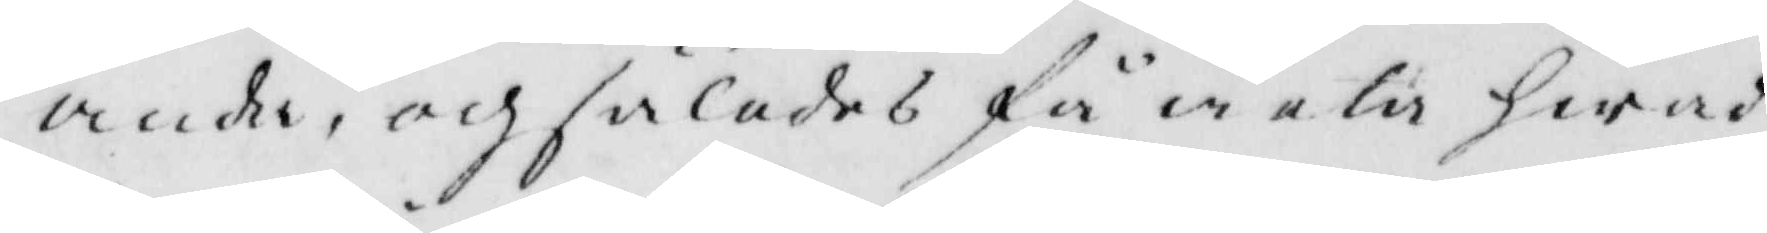ande, och således få weta hwad
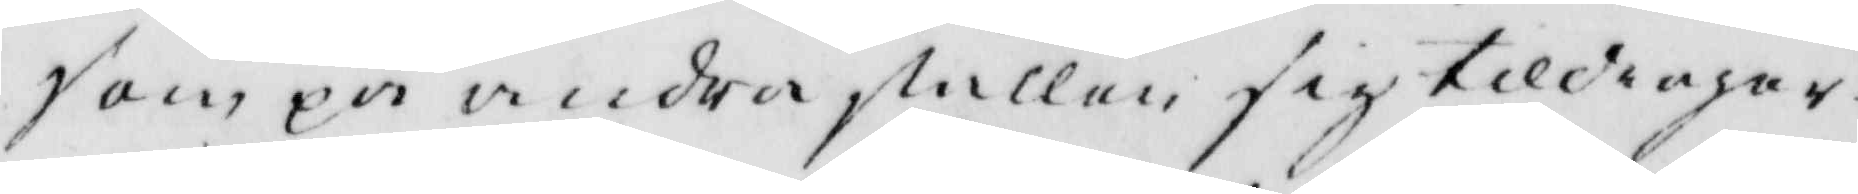som på andra ställen sig tilldragar?
